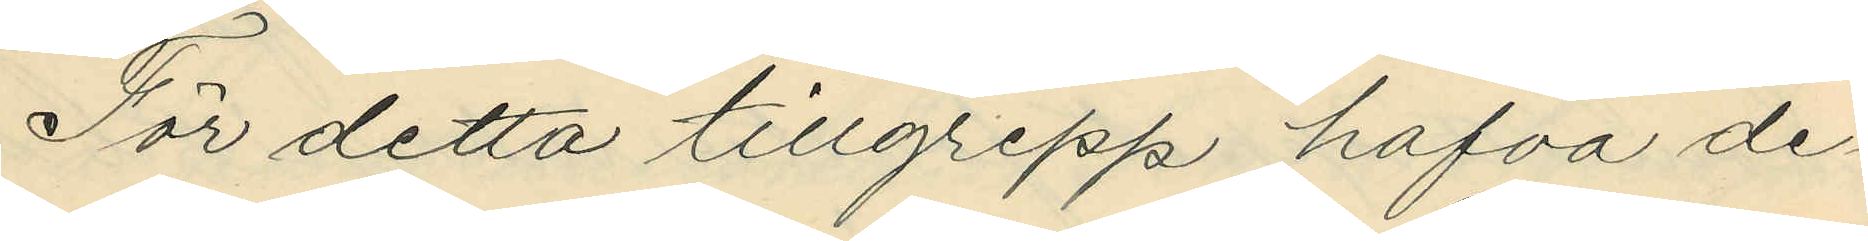För detta tillgrepp hafva de¬
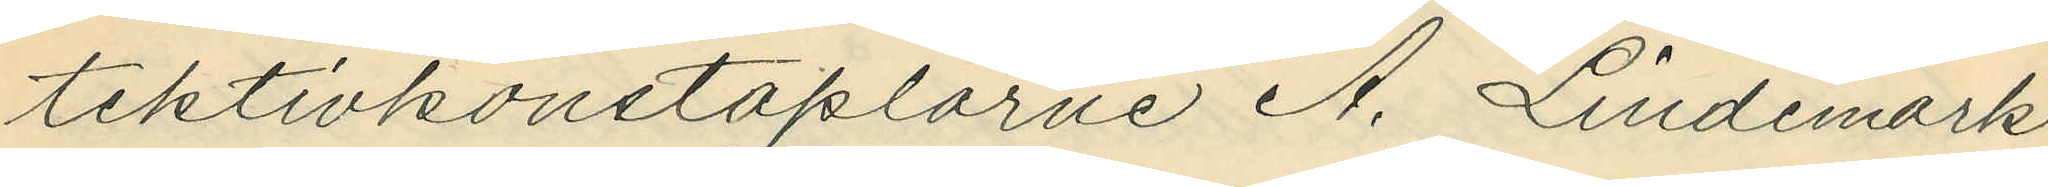tektivkonstaplarne A. Lindemark
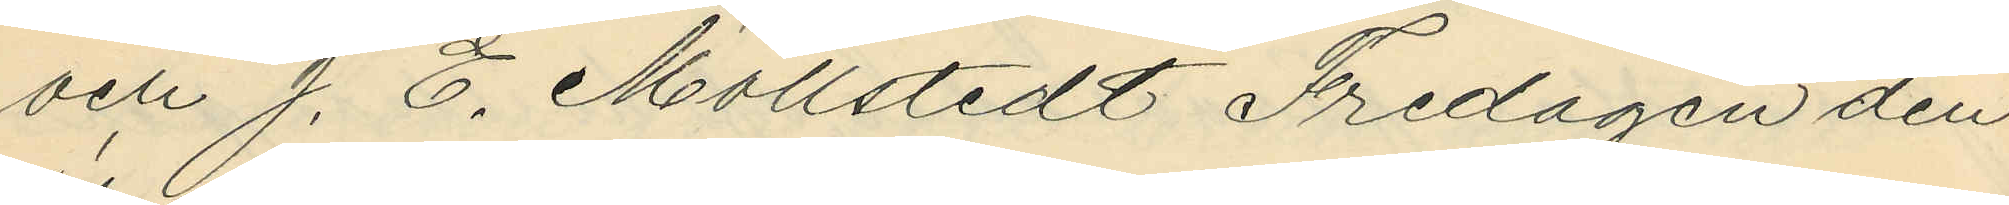och J. E. Mollstedt Fredagen den
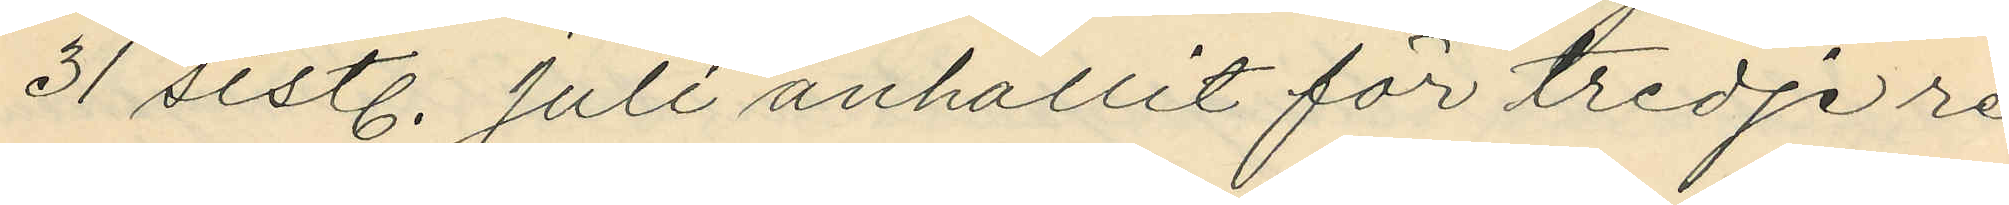31 sistl. Juli anhållit för tredje re¬
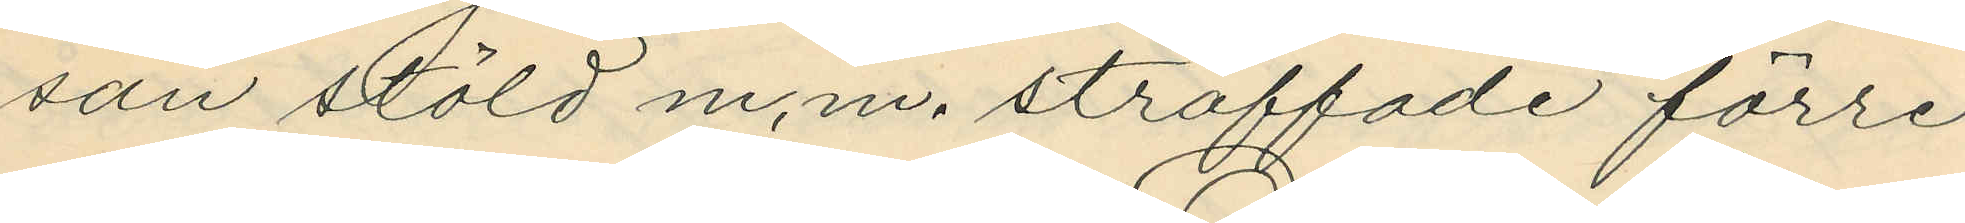san stöld m.m. straffade förre
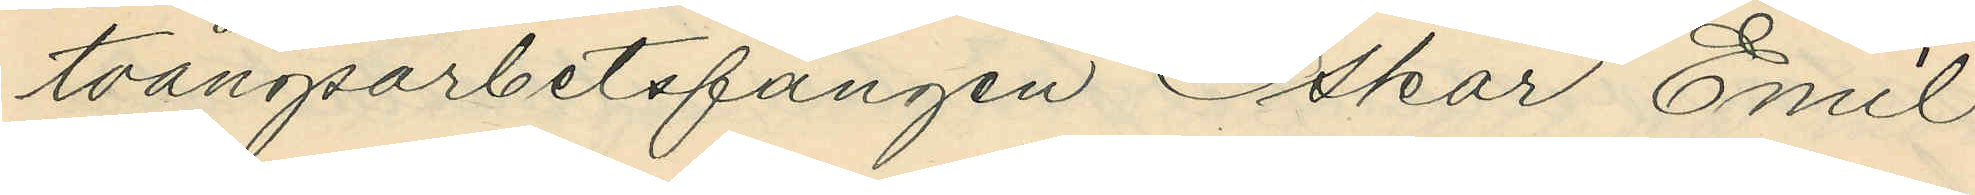tvångsarbetsfången Oskar Emil
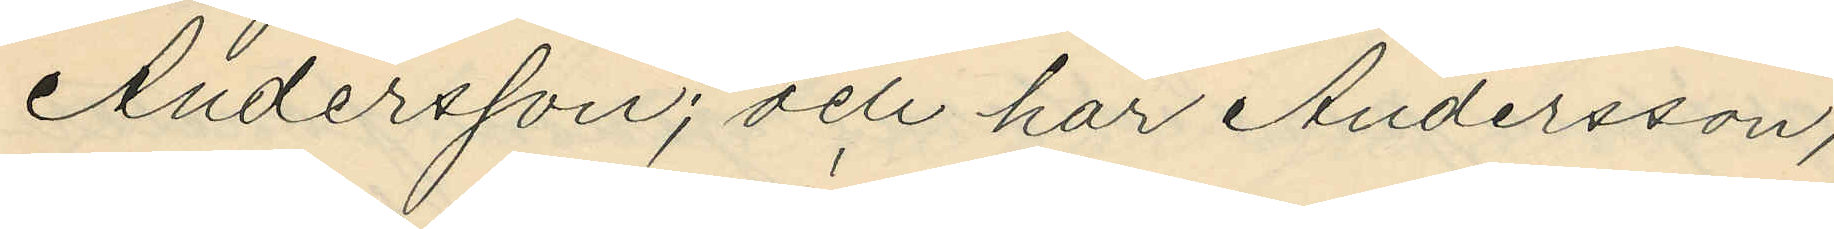Andersson; och har Andersson,
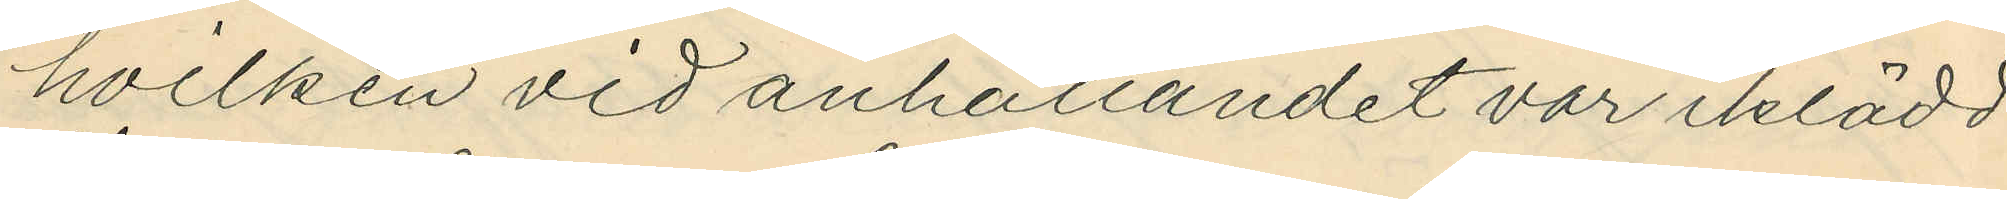hvilken vid anhållandet var iklädd
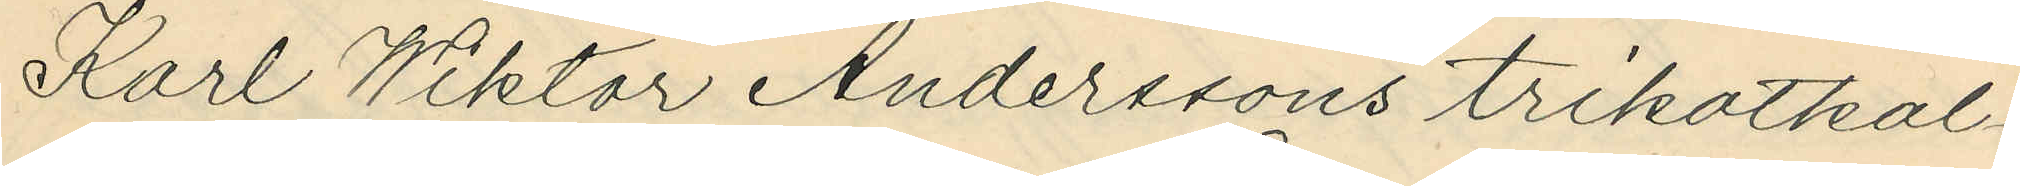Karl Wiktor Anderssons trikotkal¬
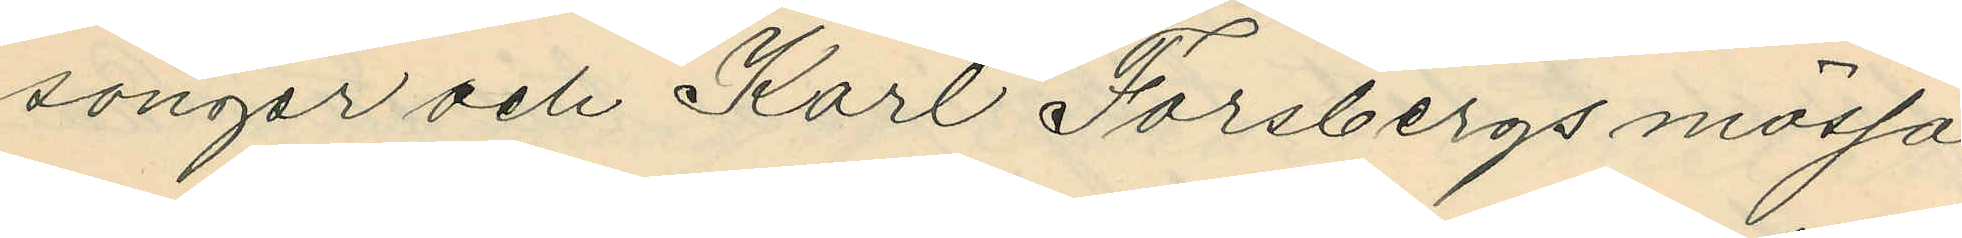songer och Karl Forsbergs mössa
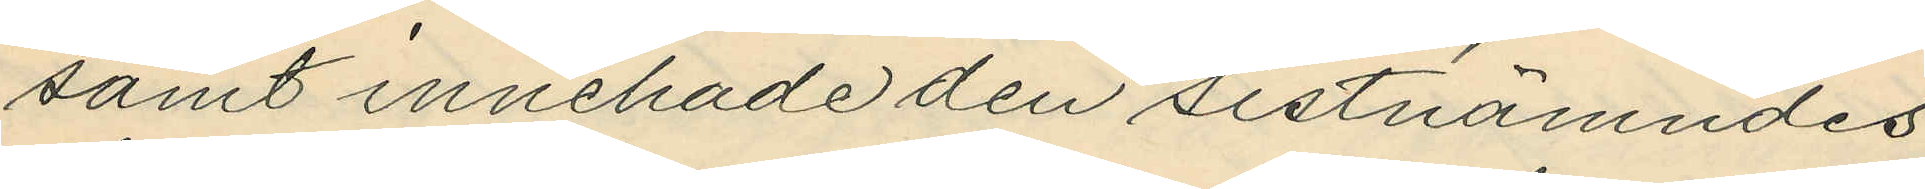samt innehade den sistnämndes
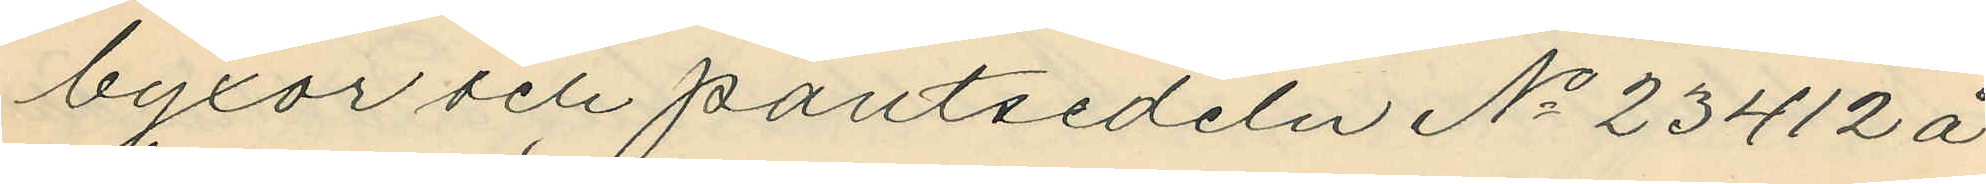byxor och pantsedeln No 23412 å
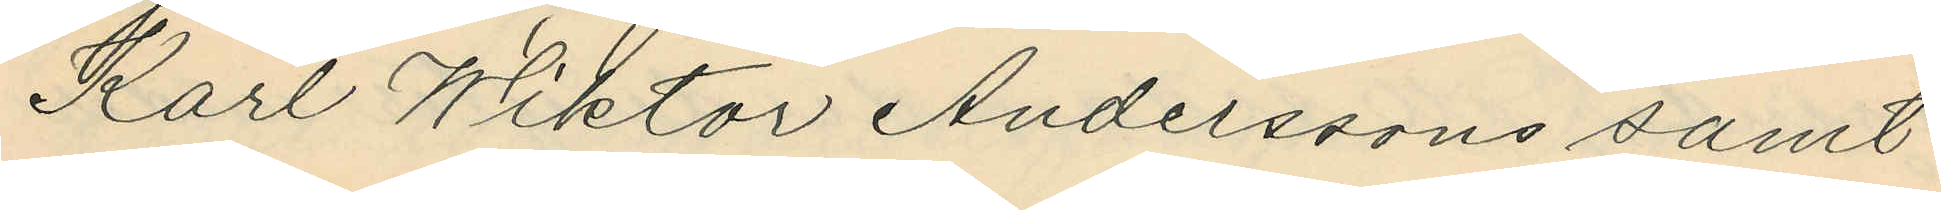Karl Wiktor Anderssons samt
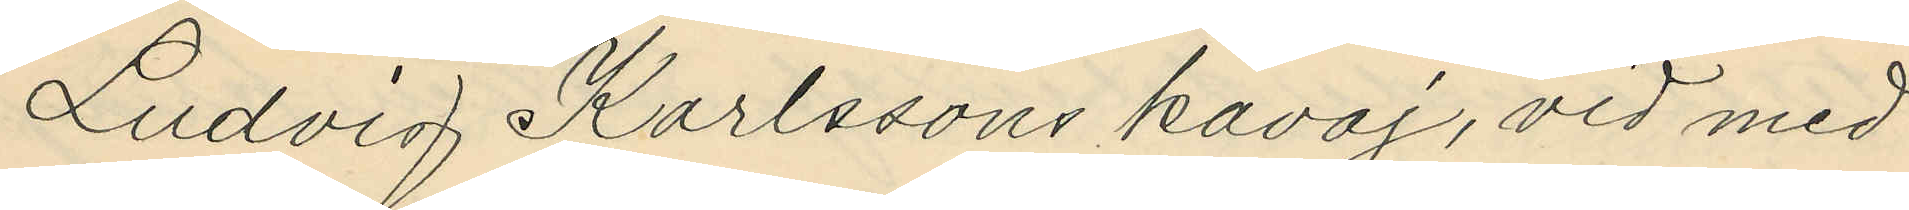Ludvig Karlssons kavaj, vid med
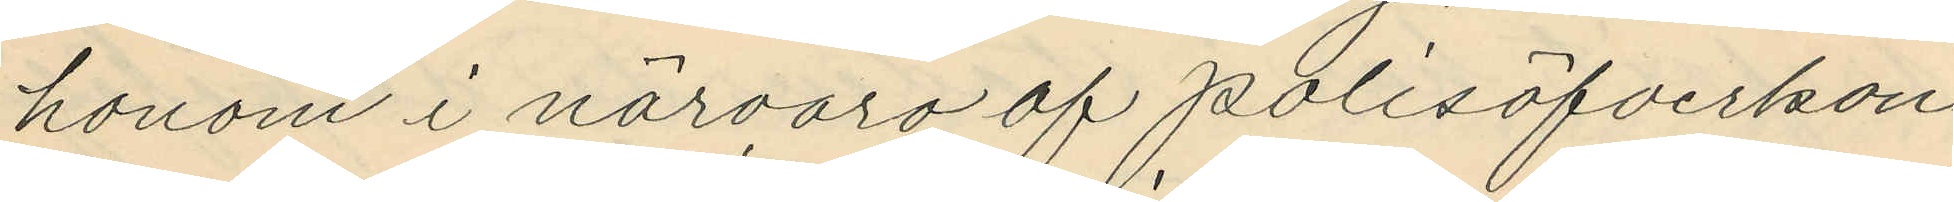honom i närvaro af polisöfverkon¬
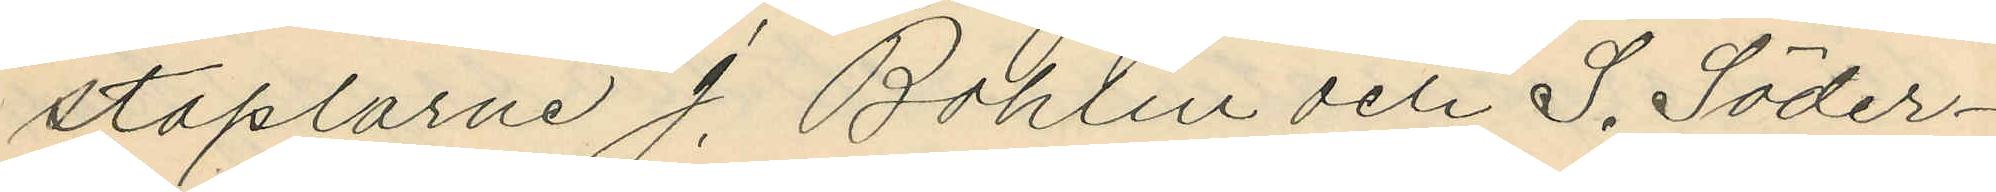staplarne J. Bohlin och S. Söder¬
